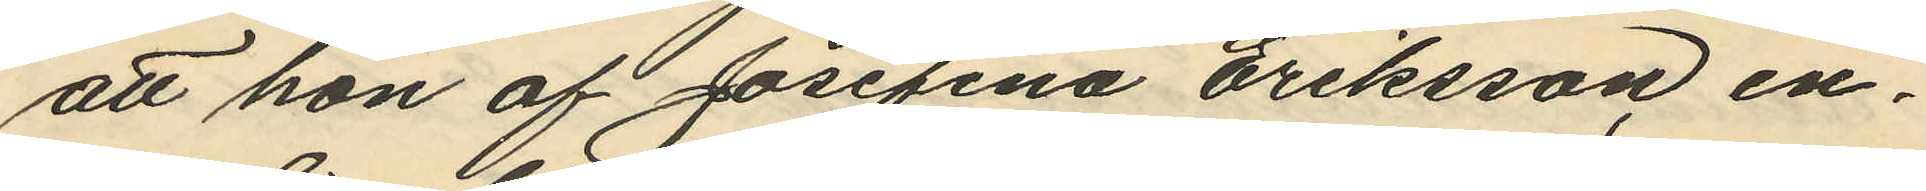att hon af Josefina Eriksson en¬
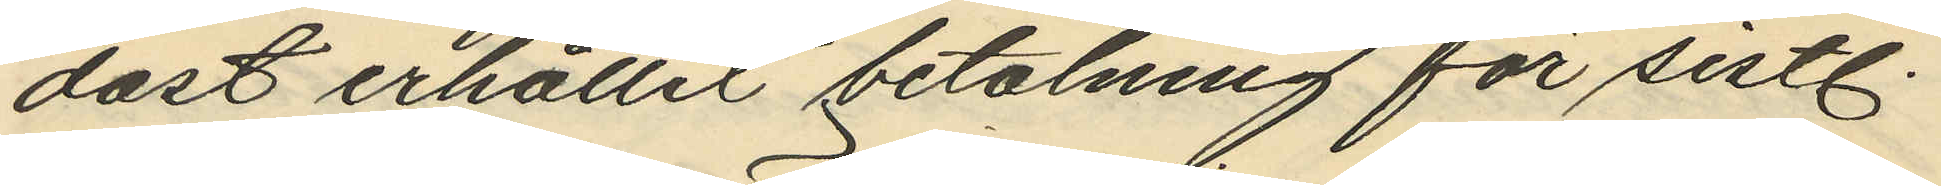dast erhållit betalning för sistl.
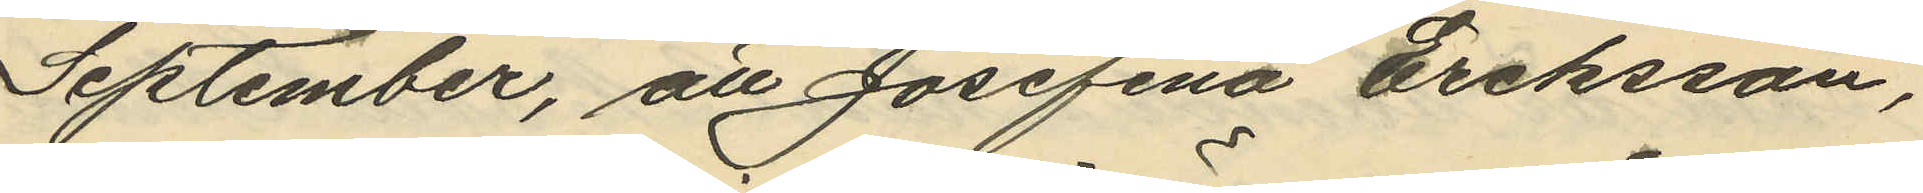September, att Josefina Eriksson,
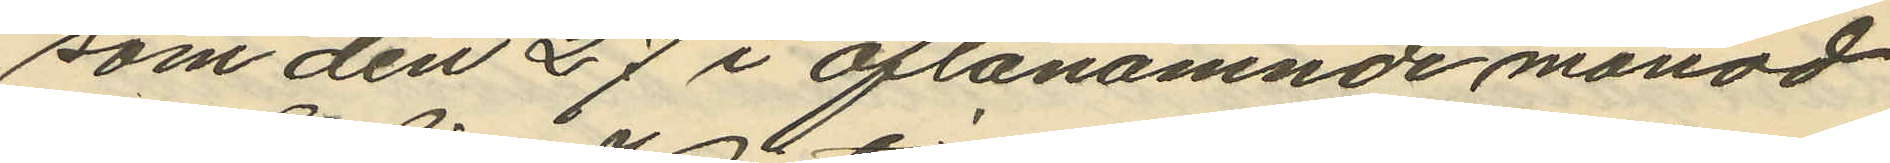som den 27 i oftanämnde månad
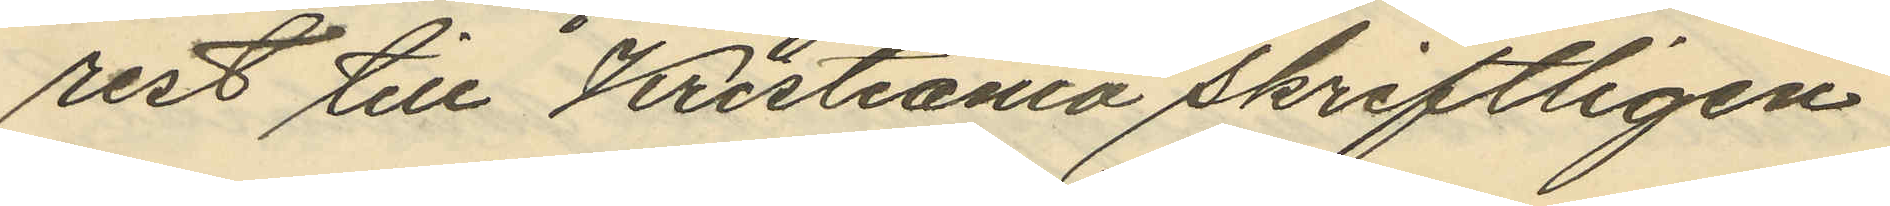rest till Kristiania skriftligen
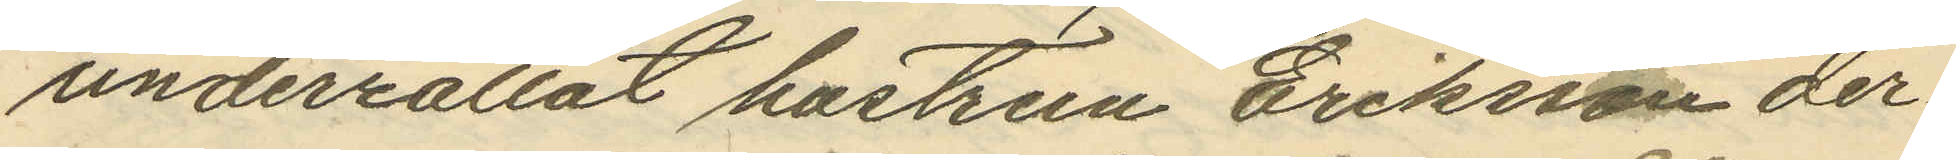underrättat hustrun Eriksson der¬
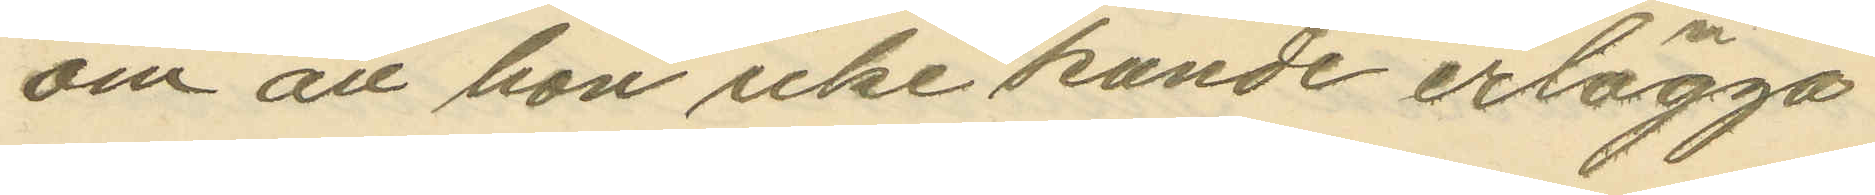om att hon icke kunde erlägga
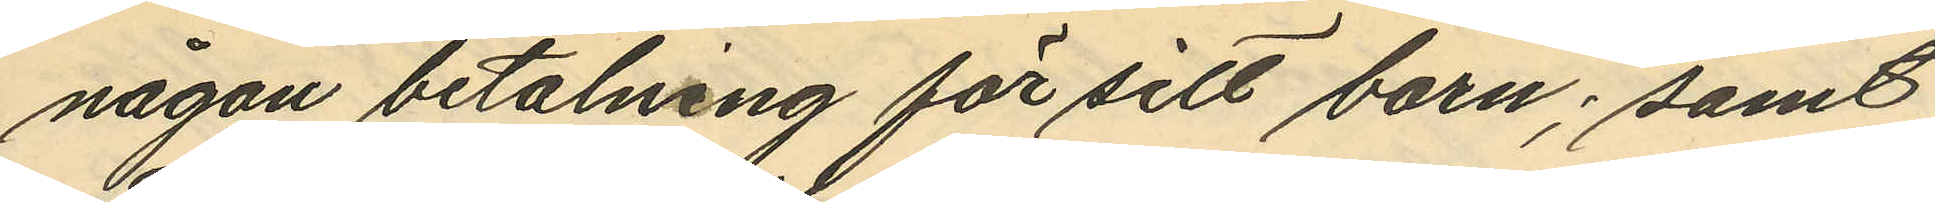någon betalning för sitt barn; samt
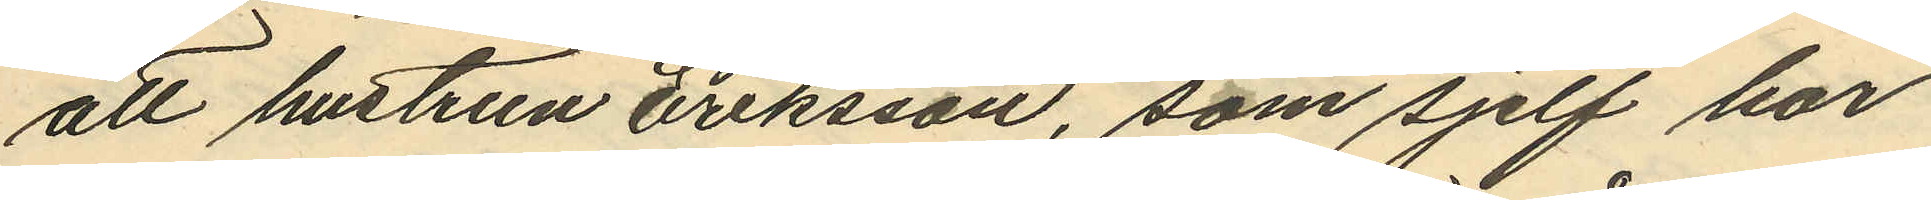att hustrun Eriksson, som sjelf har
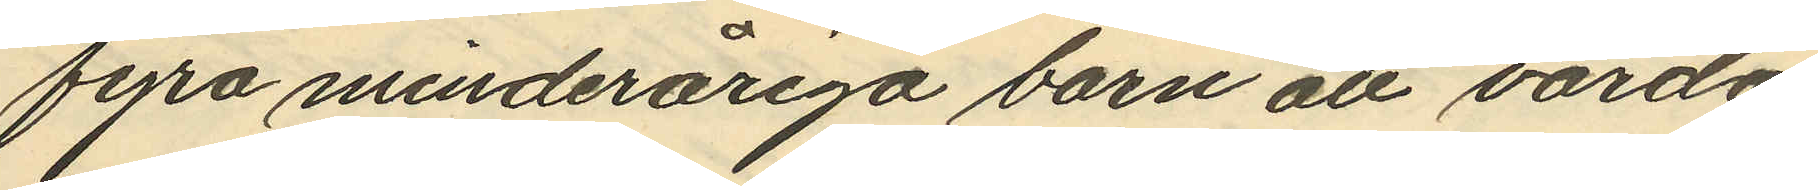fyra minderåriga barn att vårda,
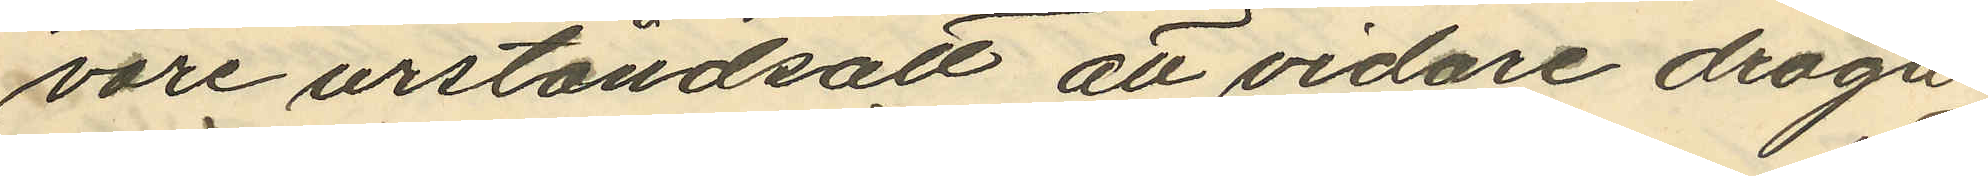vore urståndsatt att vidare draga
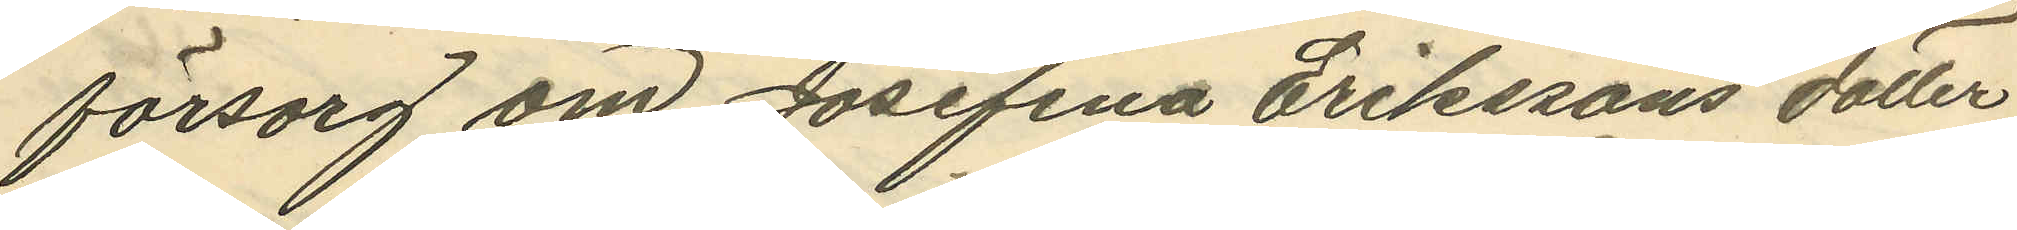försorg om Josefina Erikssons dotter.
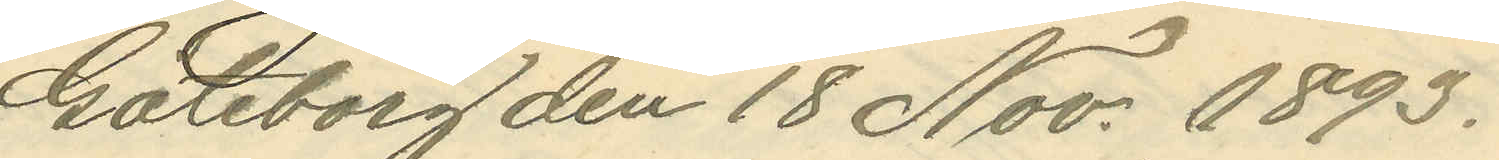Göteborg den 18 Nov. 1893.
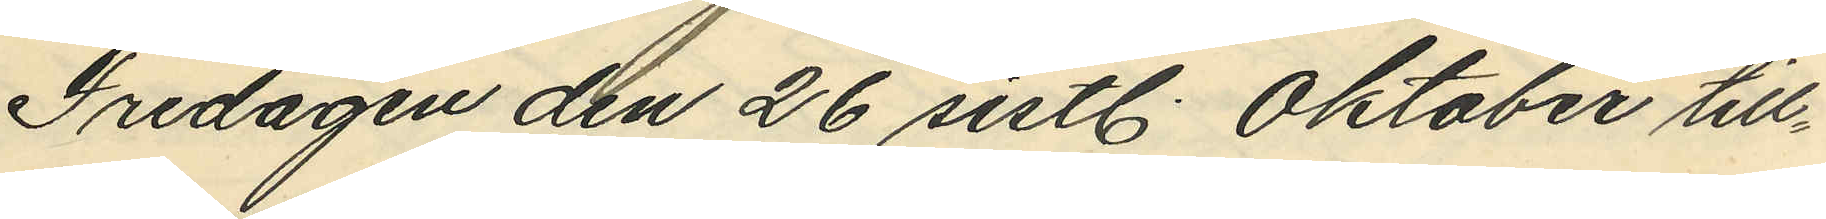Fredagen den 26 sistl. Oktober till¬
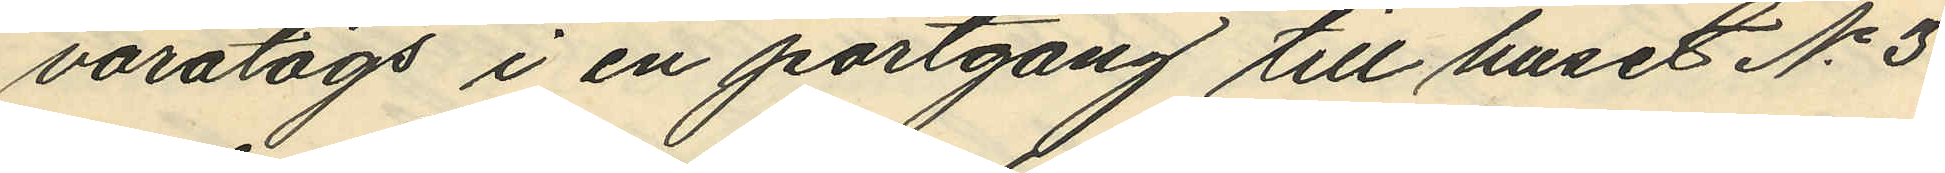varatogs i en portgång till huset No 3
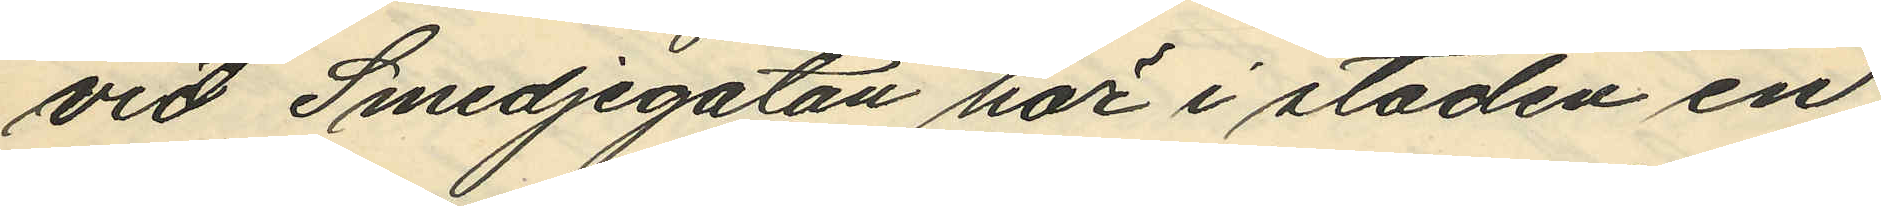vid Smedjegatan här i staden en
